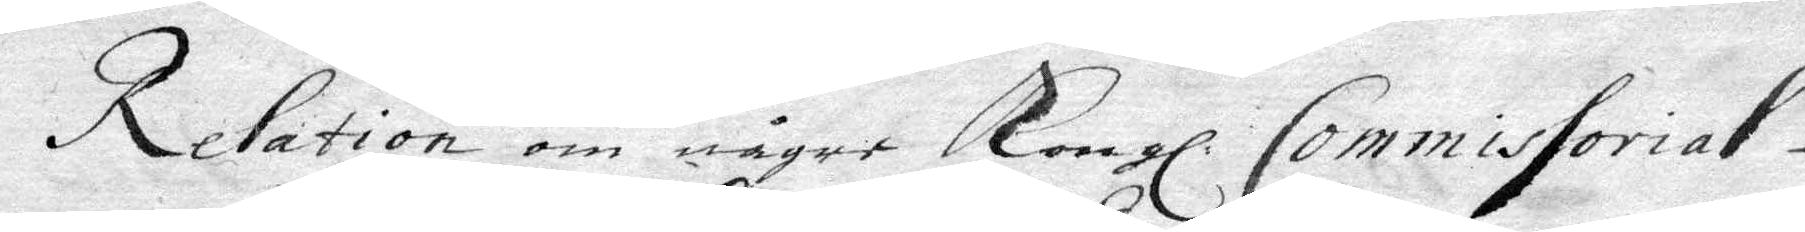Ralation om någre Kongl. Commissorial¬
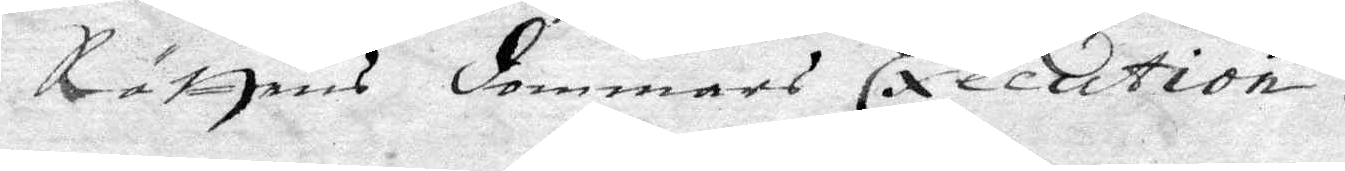Rättens dommars Execution.
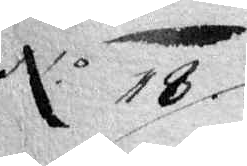No 18
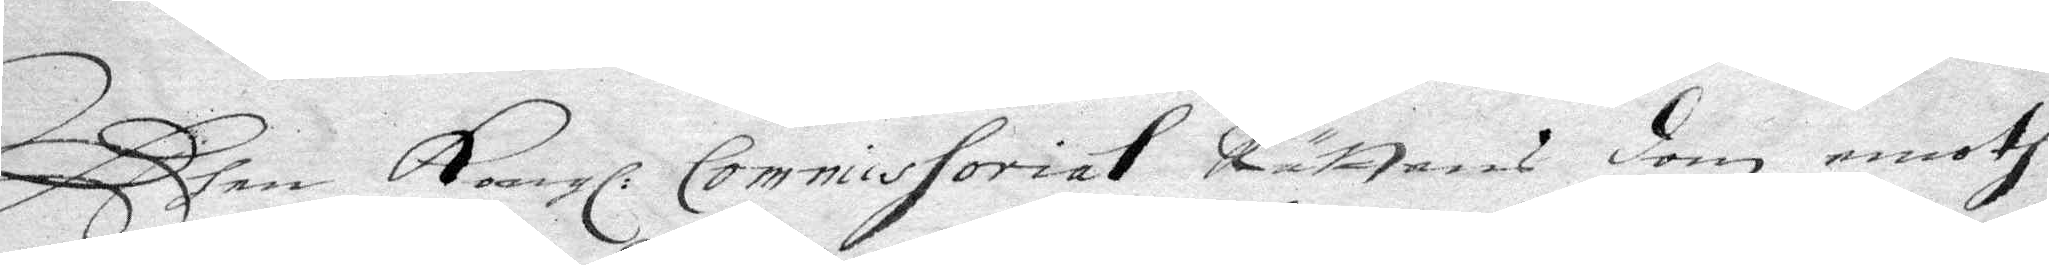Dhen Kongl. Commissorial Rättens dom emoth
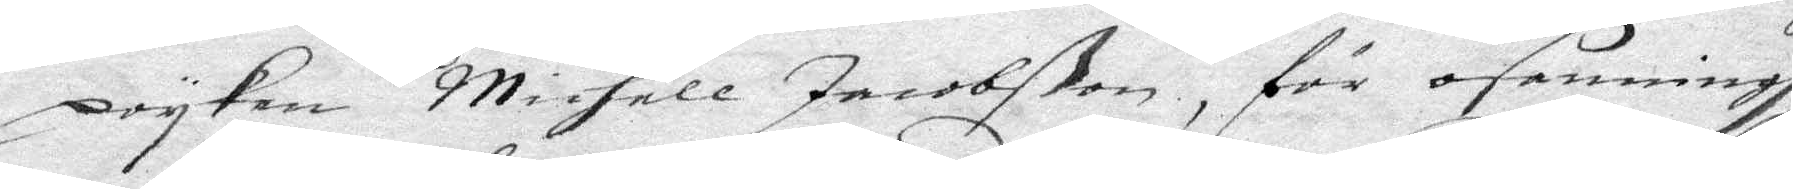poyken Michell Jacobßon, för osanningh
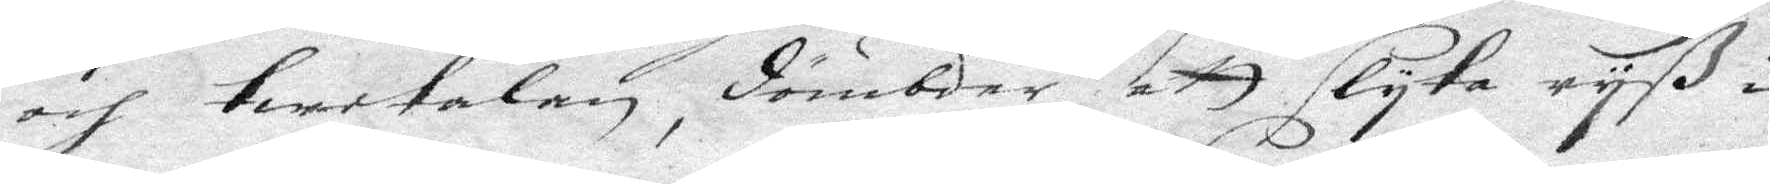och twetalan, dömbder att slyta ryß i
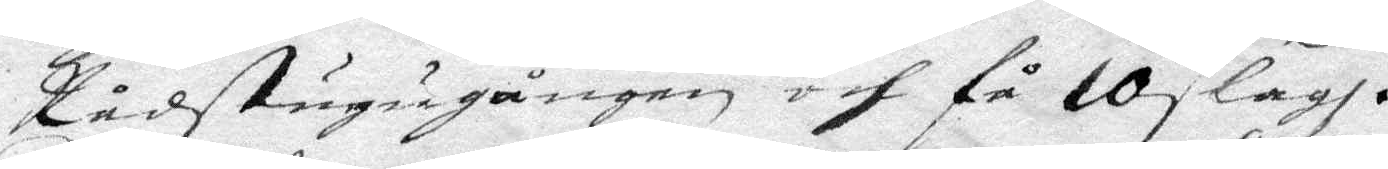Rådstugugången och få 10 slag.
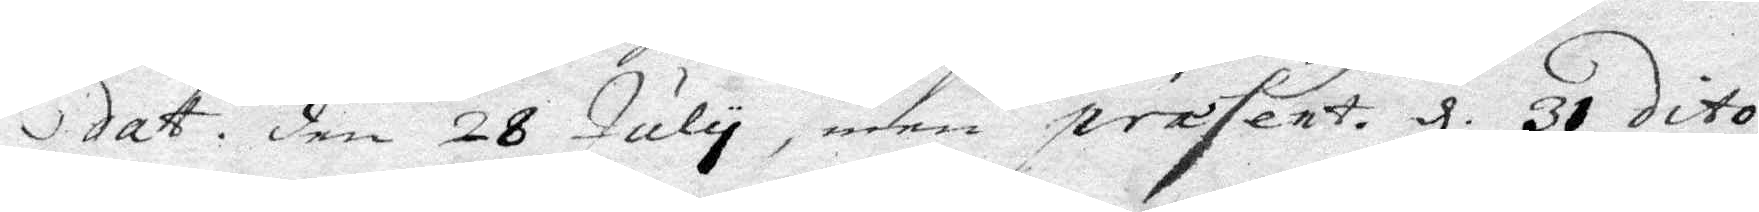dat. den 28 July, men prasent. d 31 dito.
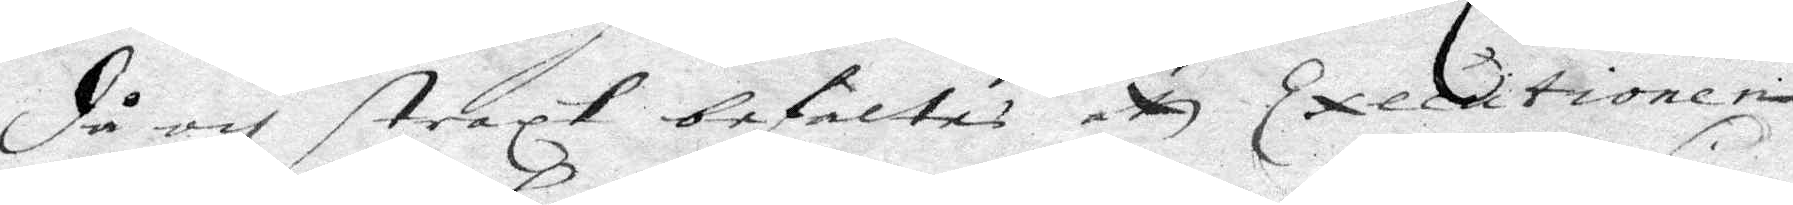då och straxt befaltes att Executionen
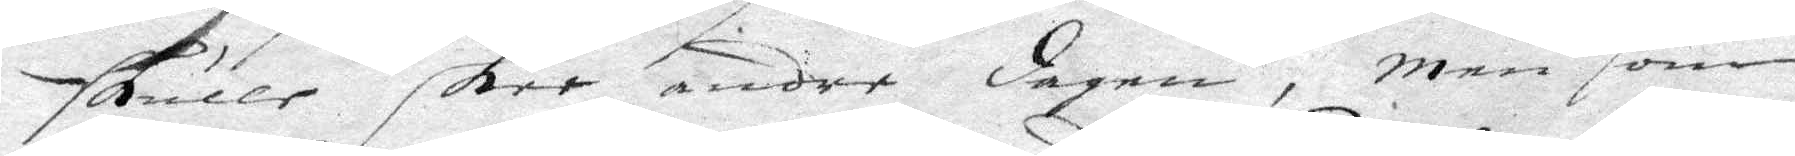skulle skee andre dagen, men som
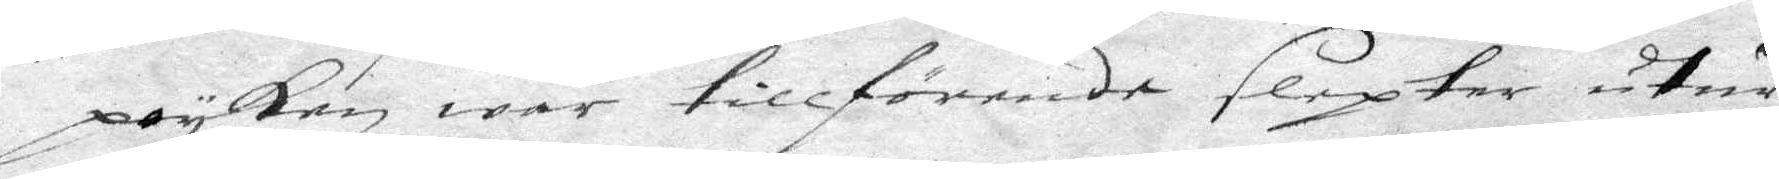poyken war tillförende slepter utur
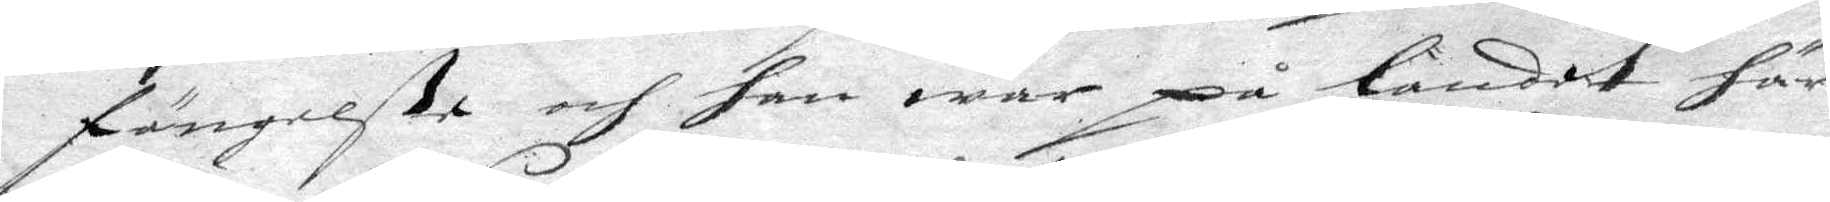fängelße och han war på landet här
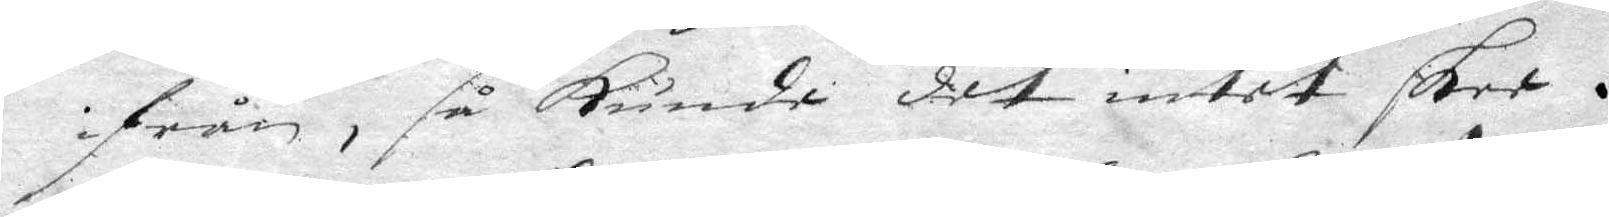ifrån, så kunde det intet skee.
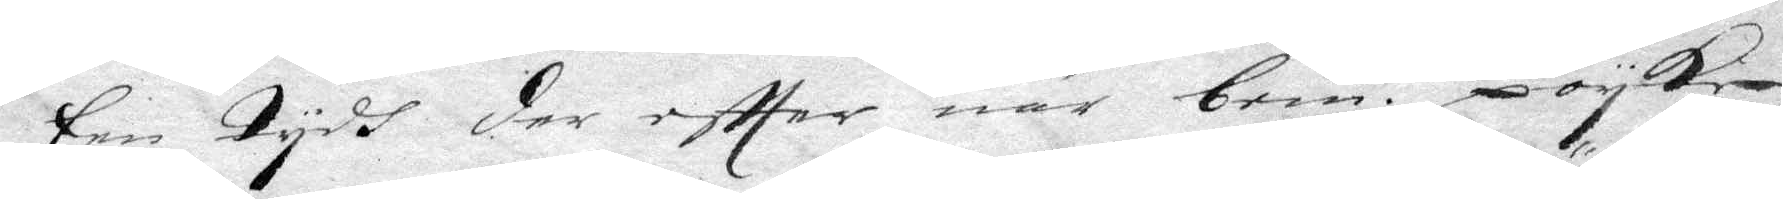Een tydh der effter, når bem. te poyke
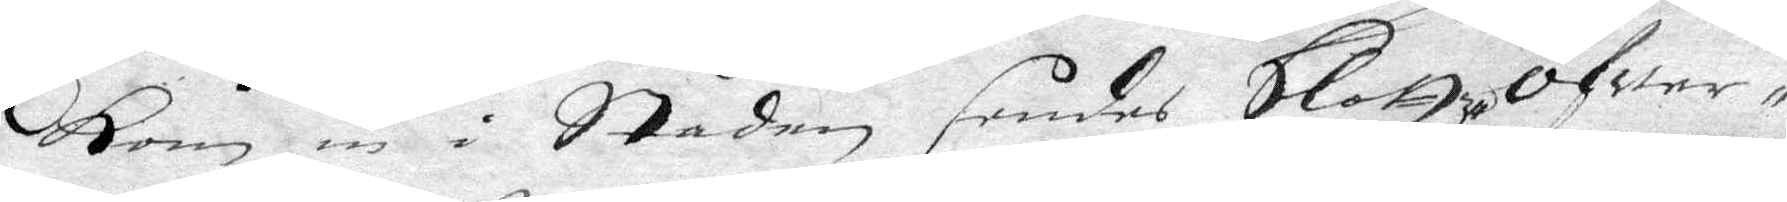kom in i Staden sendes Slottz-Öfwer-¬
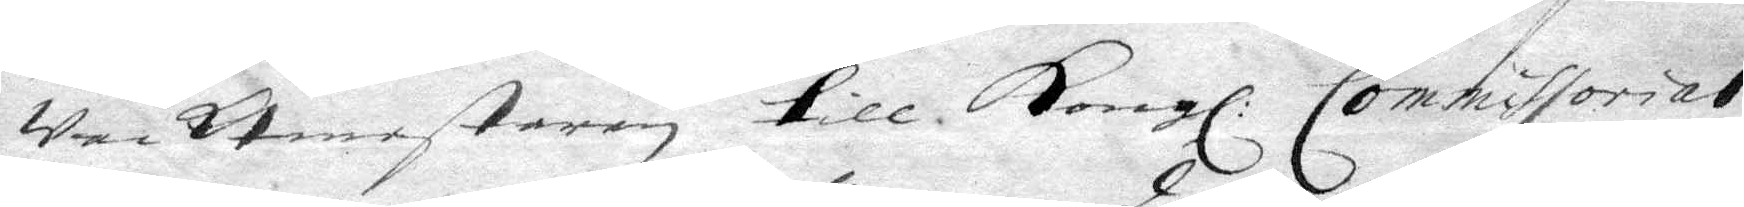Wacktmestaren till Kongl. Commissorial¬
